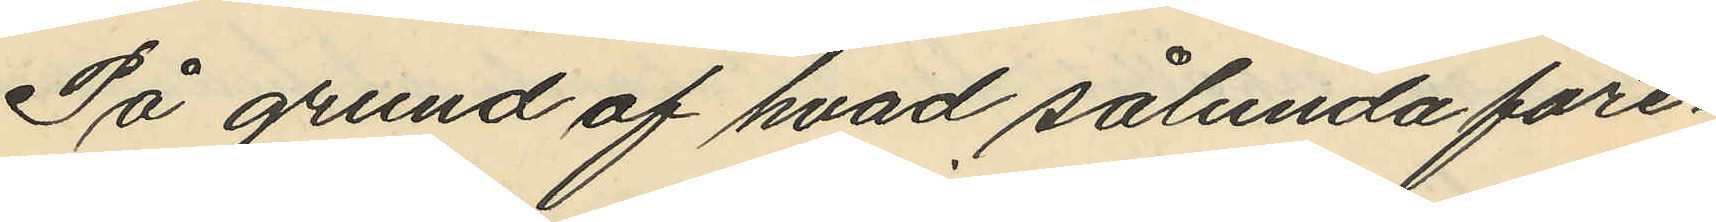På grund af hvad sålunda före¬
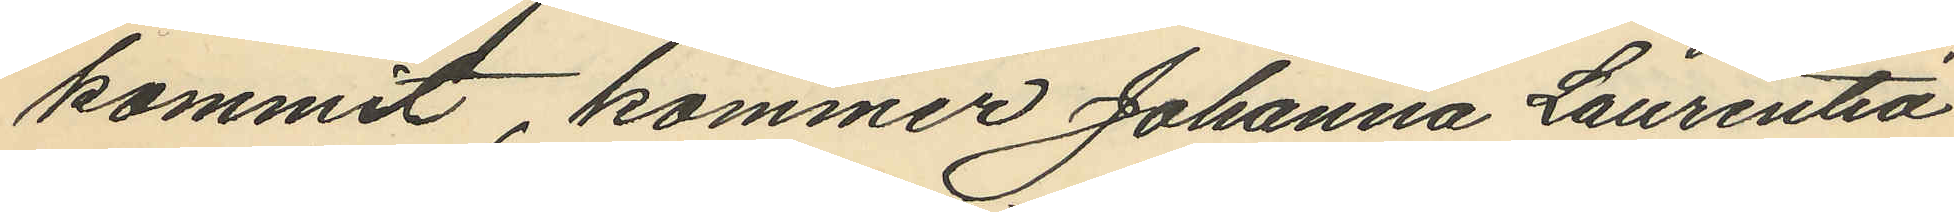kommit, kommer Johanna Laurentia
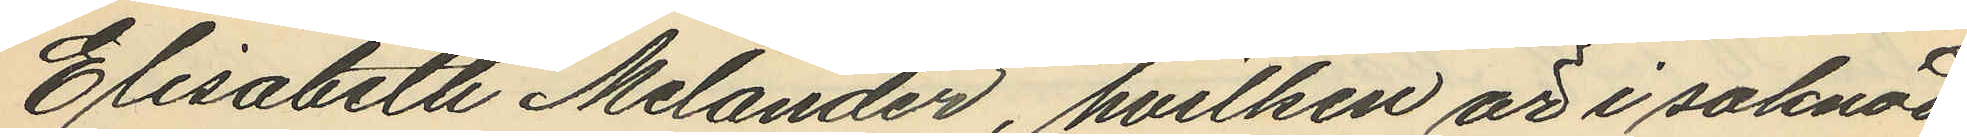Elisabeth Melander, hvilken är i saknad
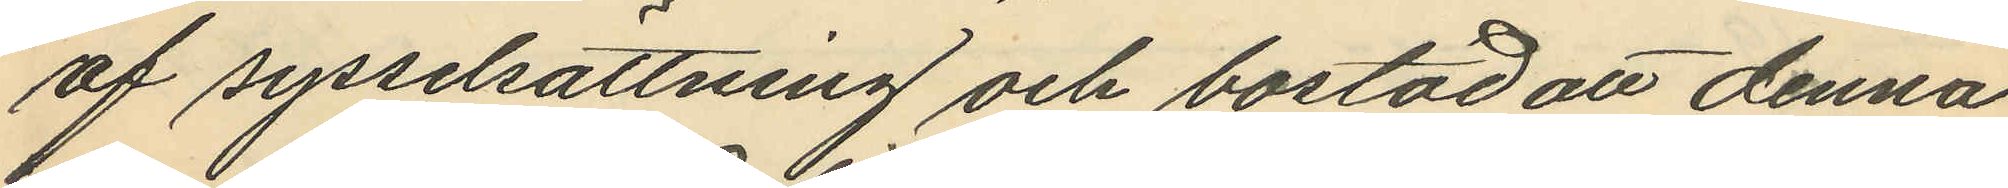af sysselsättning och bostad att denna
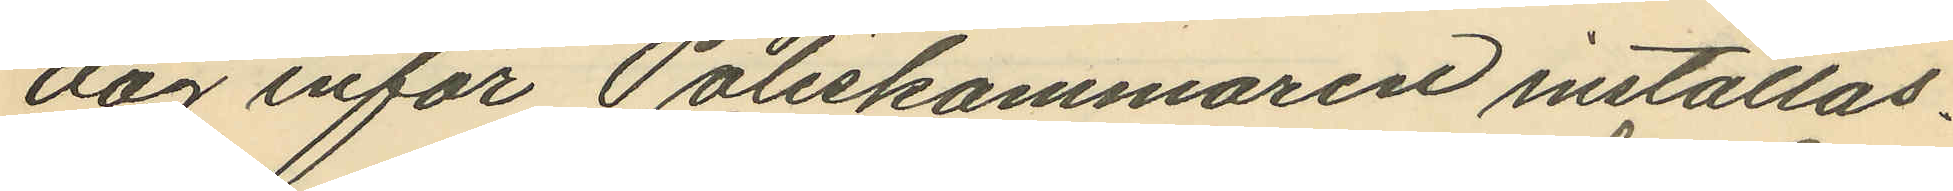dag inför Poliskammaren inställas.
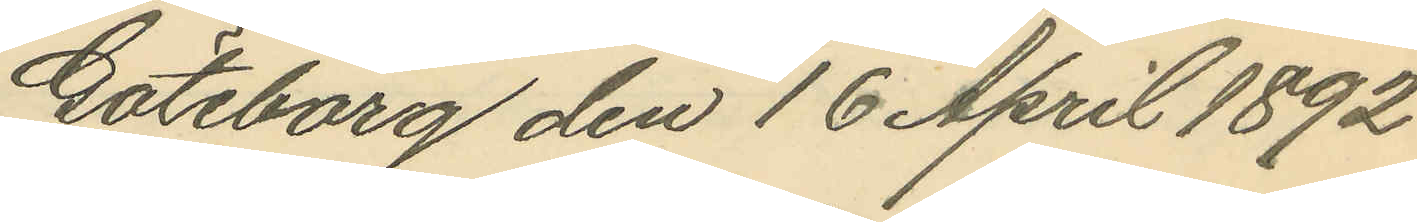Göteborg den 16 April 1892
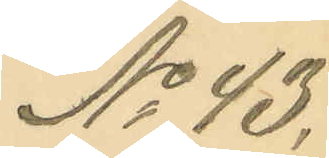No 43.
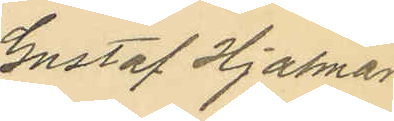Gustaf Hjalmar
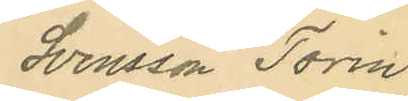Svensson Torin.
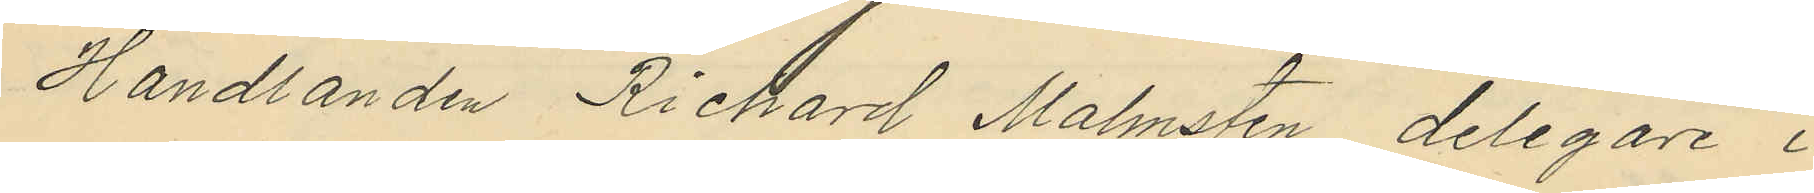Handlanden Richard Malmsten, delegare i
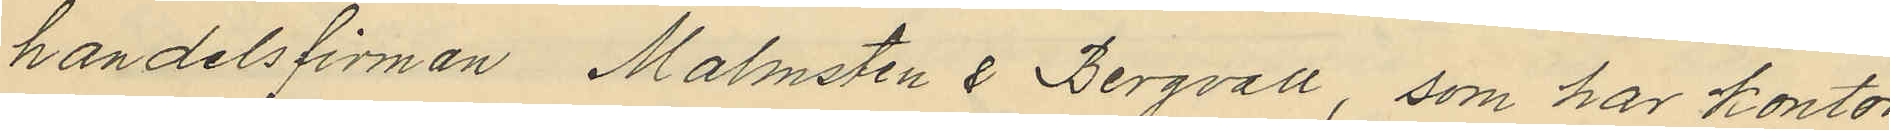handelsfirman Malmsten & Bergvall, som har kontor
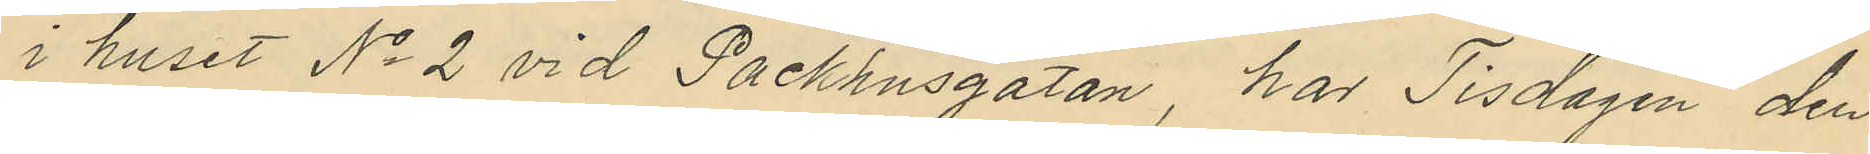i huset No 2 vid Packhusgatan, har Tisdagen den
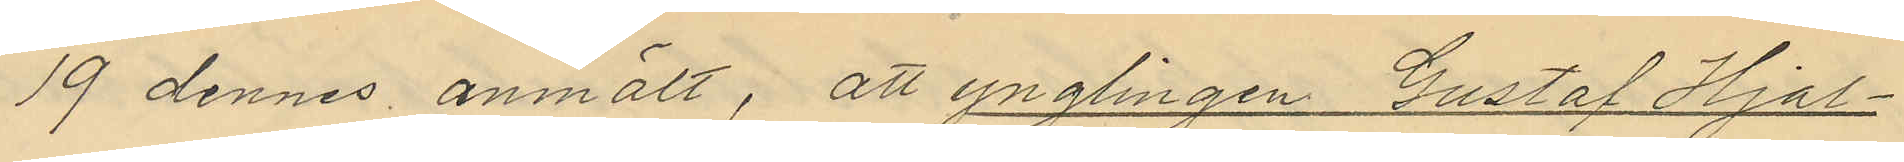19 dennes anmält, att ynglingen Gustaf Hjal¬
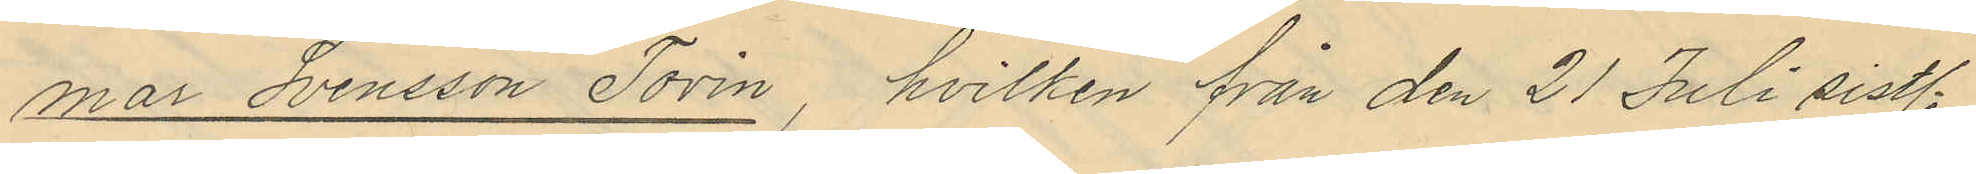mar Svensson Torin, hvilken från den 21 Juli sistl.
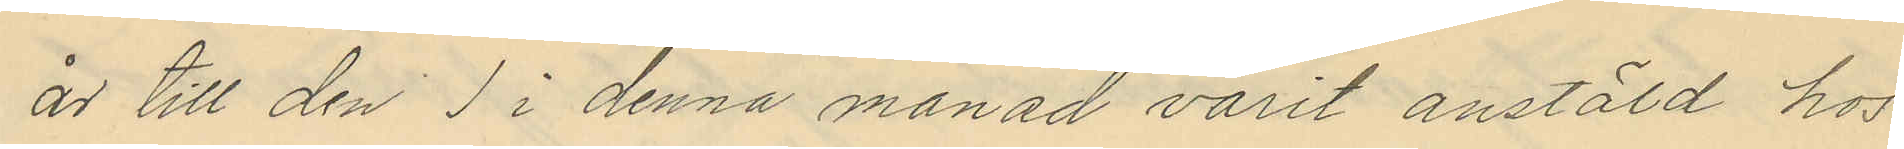år till den 1 i denna månad varit anstäld hos
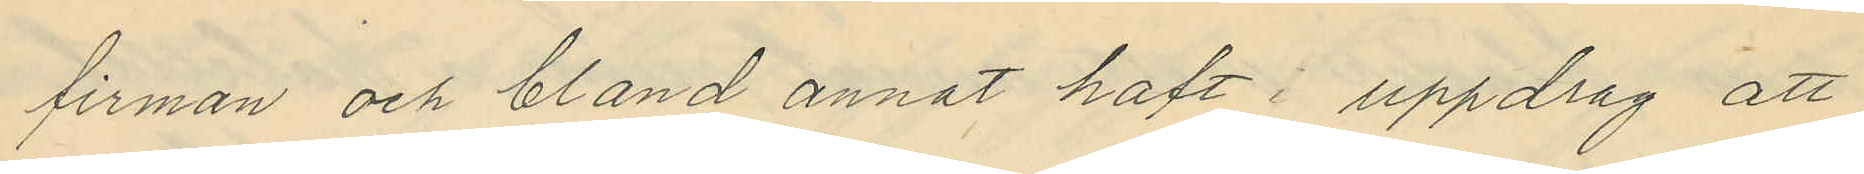firman och bland annat haft i uppdrag att
